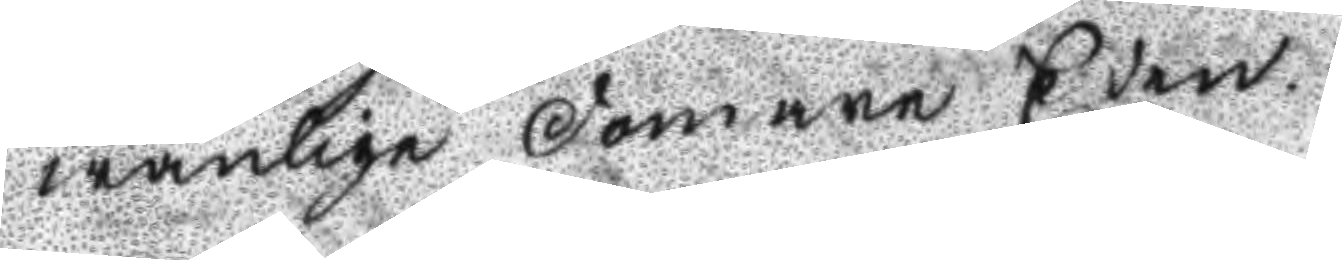wanlige domare Eden.
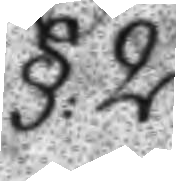§:2.
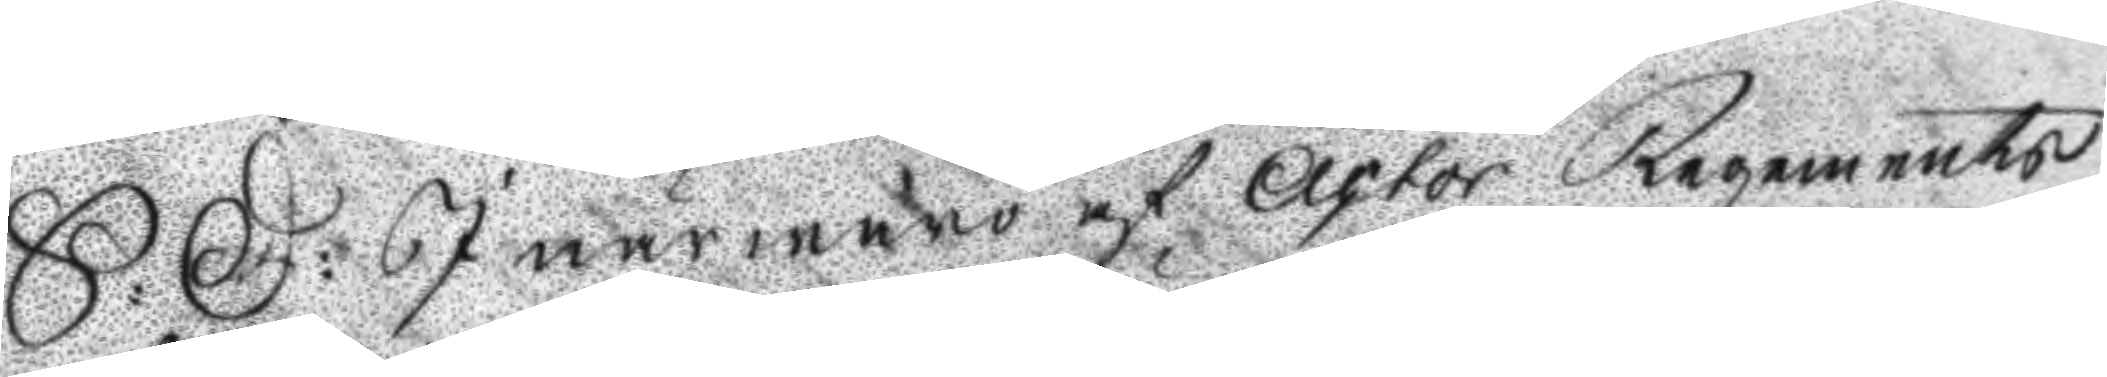S: D: I närwaro af Actor Regements
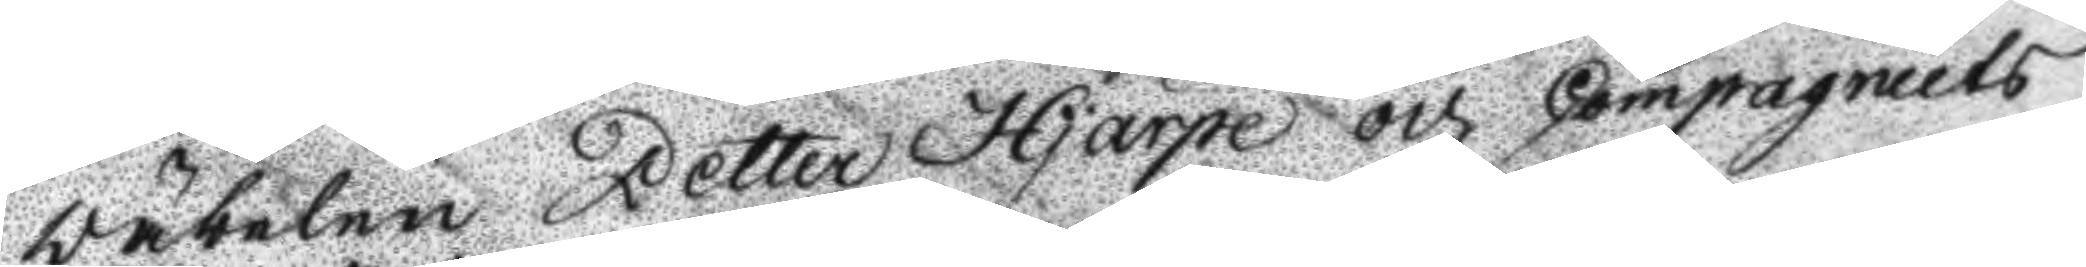väbelen Petter Hjärpe och Compagniets
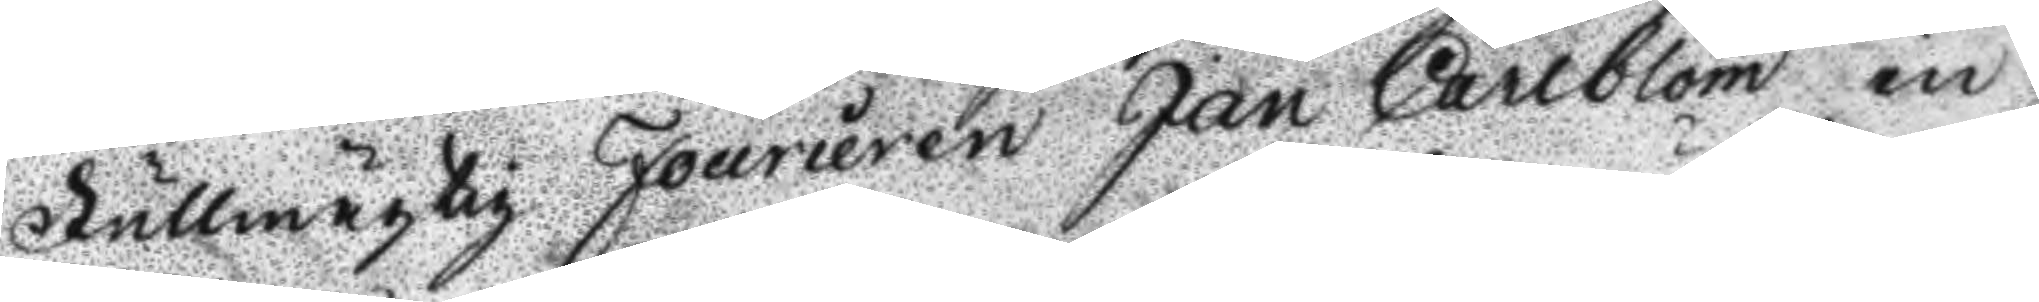Fullmägtig Fourieren Jan Carlblom in¬
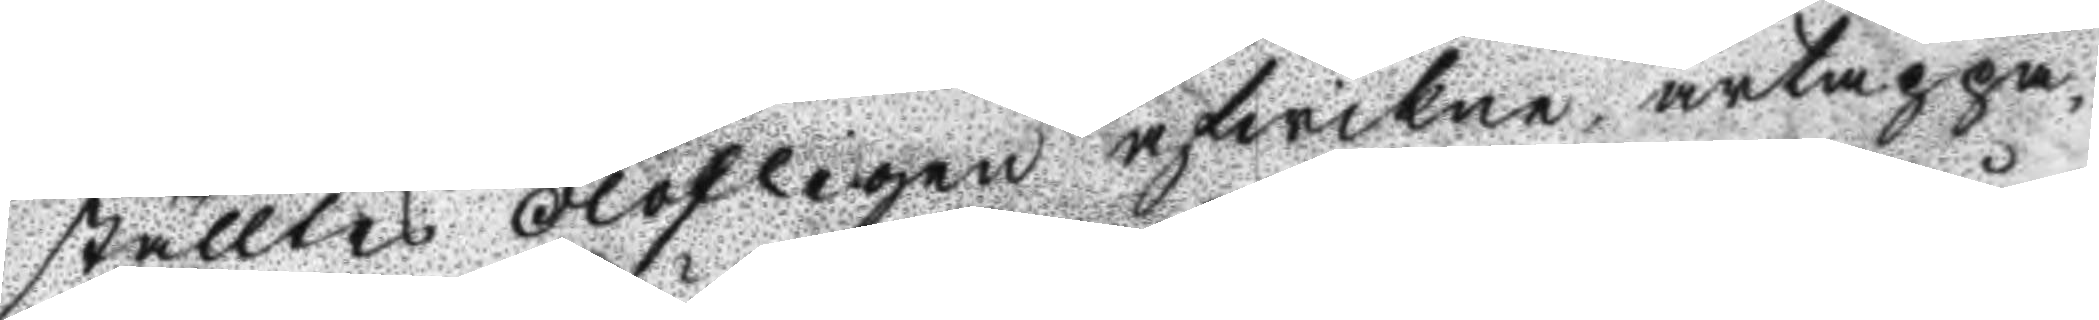ställtes olofligen afwikne ärtappa¬
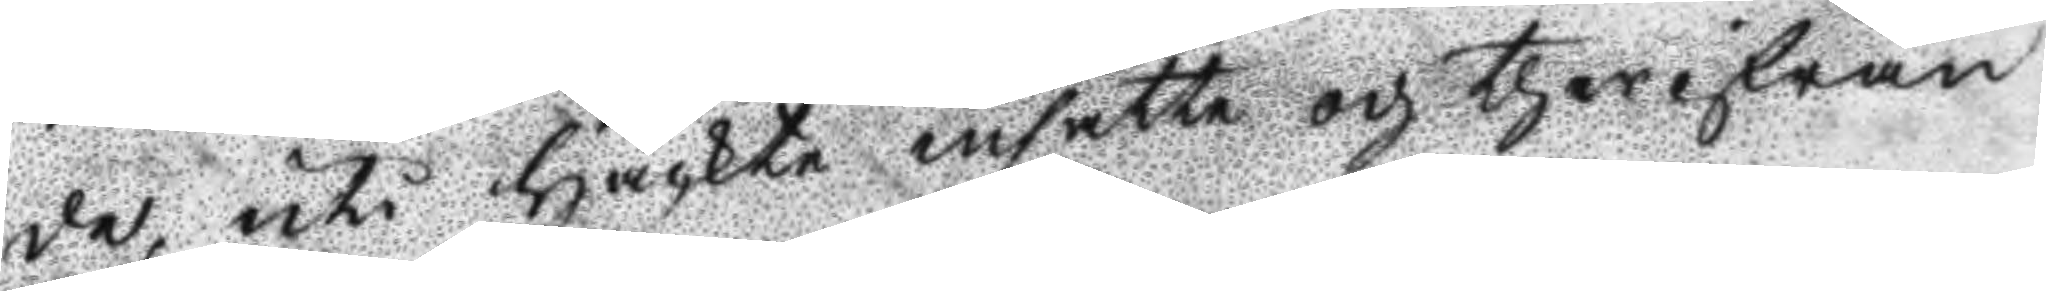de, uti Häckte insatte och therifrån
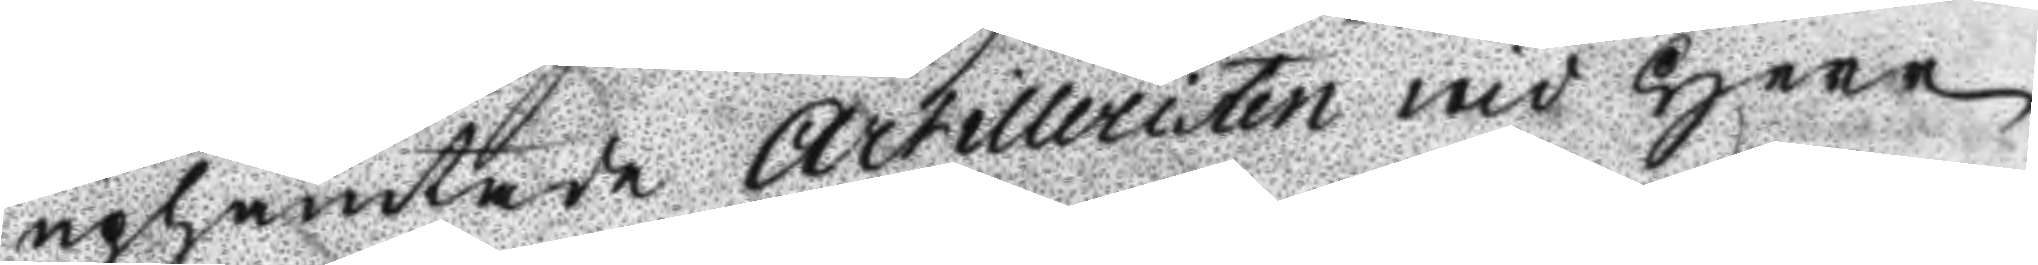uphämtade Artilleristen wid Herr
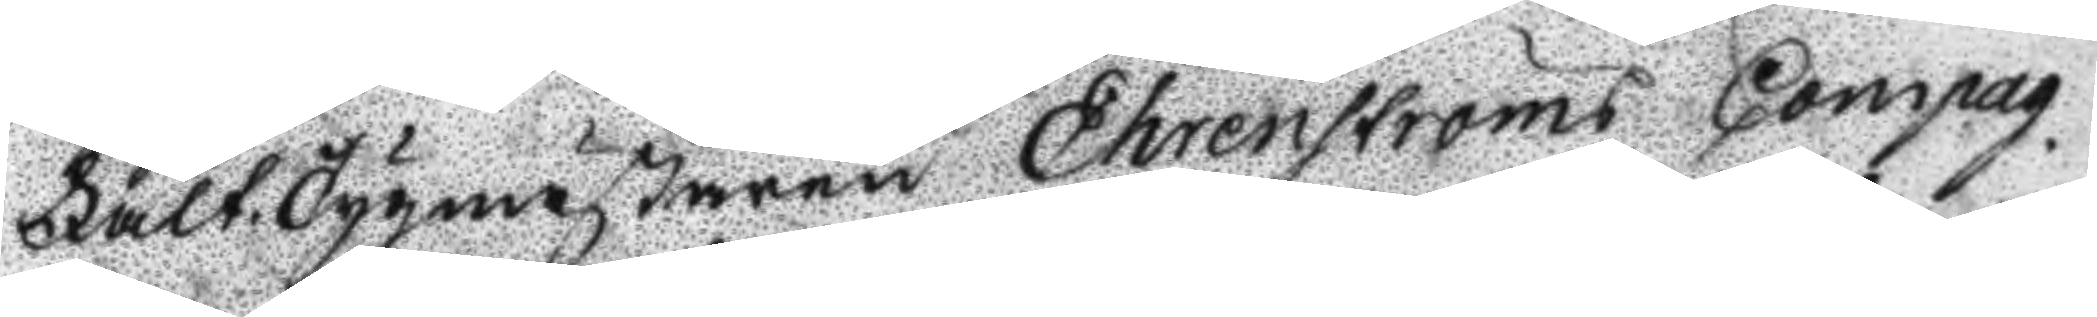FältTygmästaren Ehrenströms Compag¬
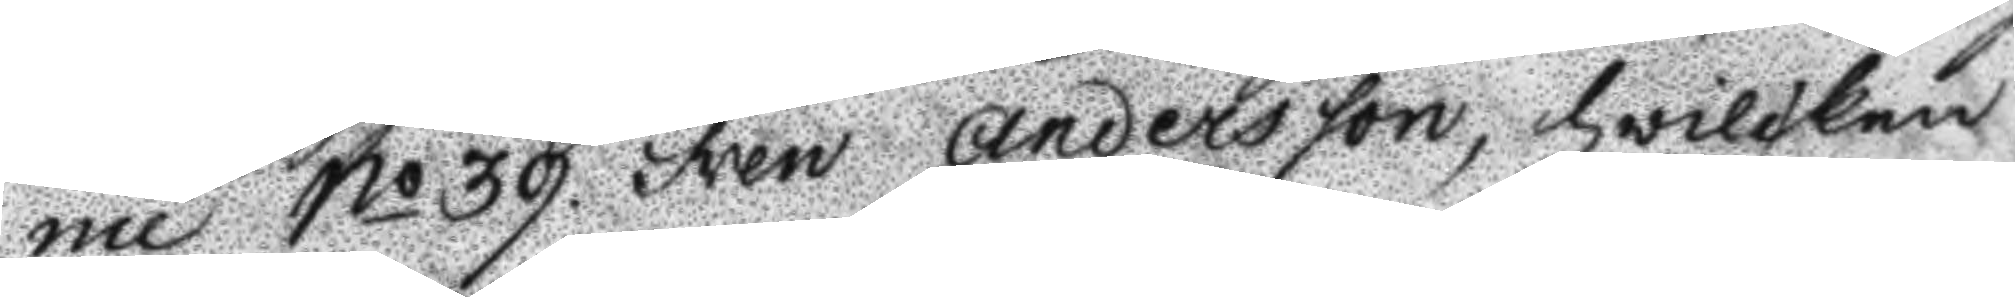nie No 39 Sven Andersson, hwilken
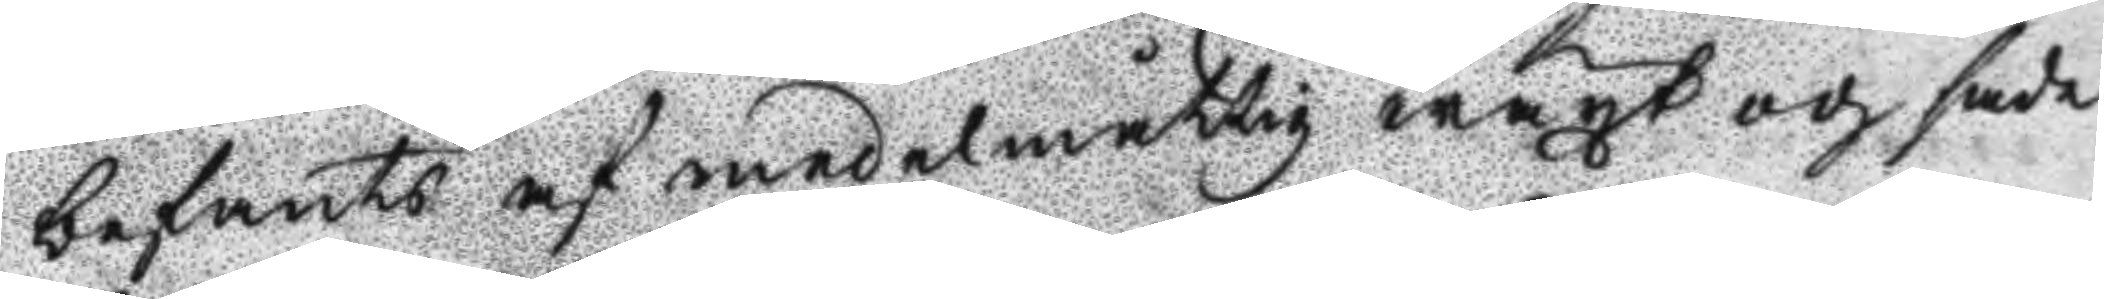befants af medelmåttig wäxt och sade
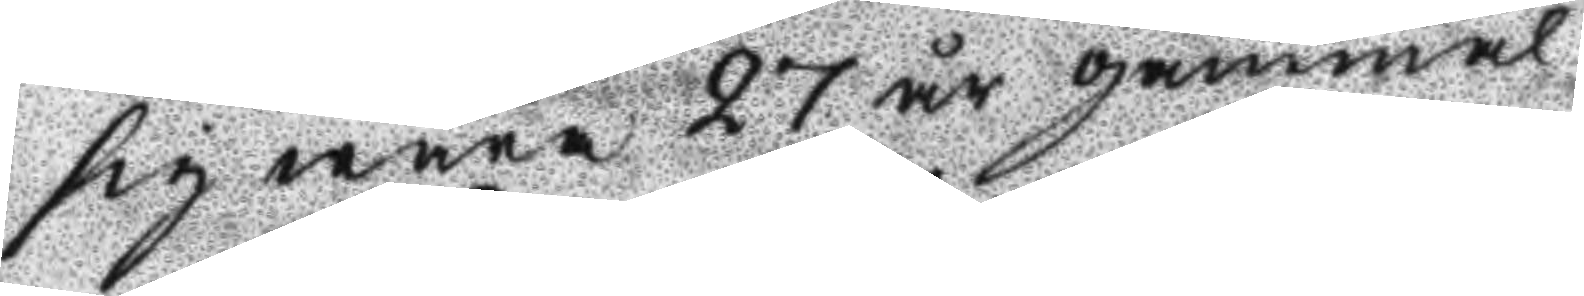sig wara 27 år gammal.
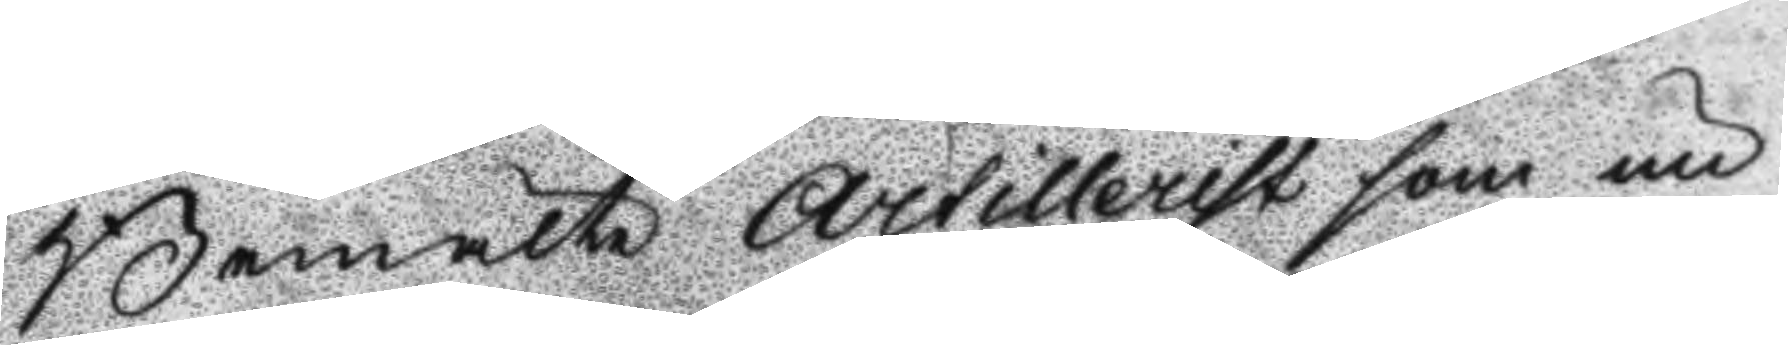Bemälte Artillerist som un¬
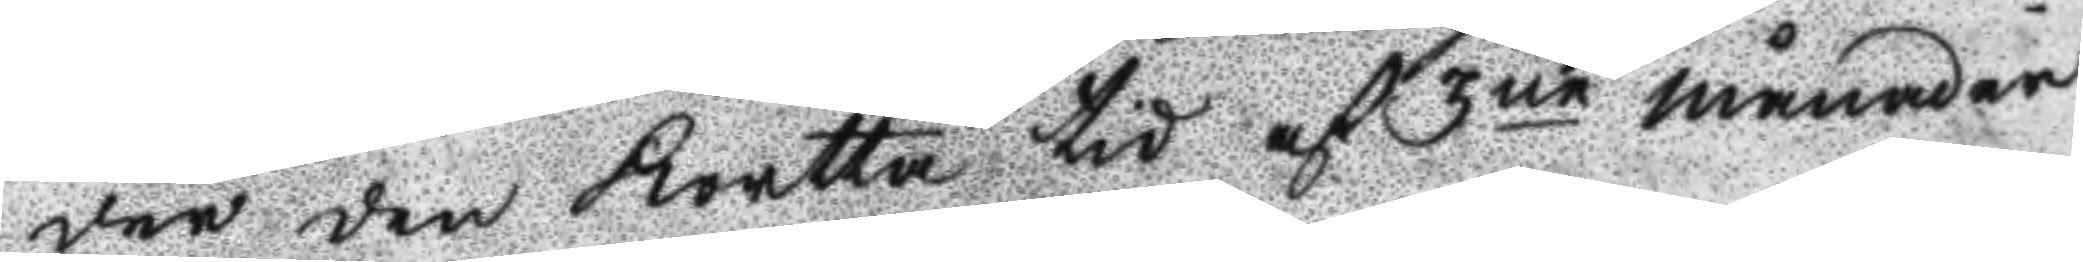der den Korta tid af 3ne månader
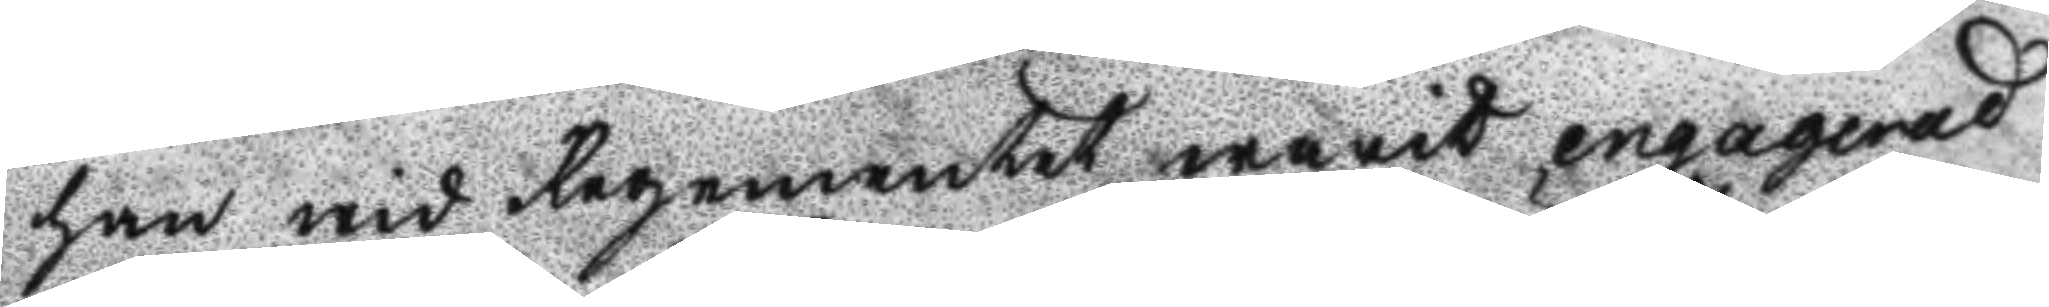han wid Regementet warit engagerad
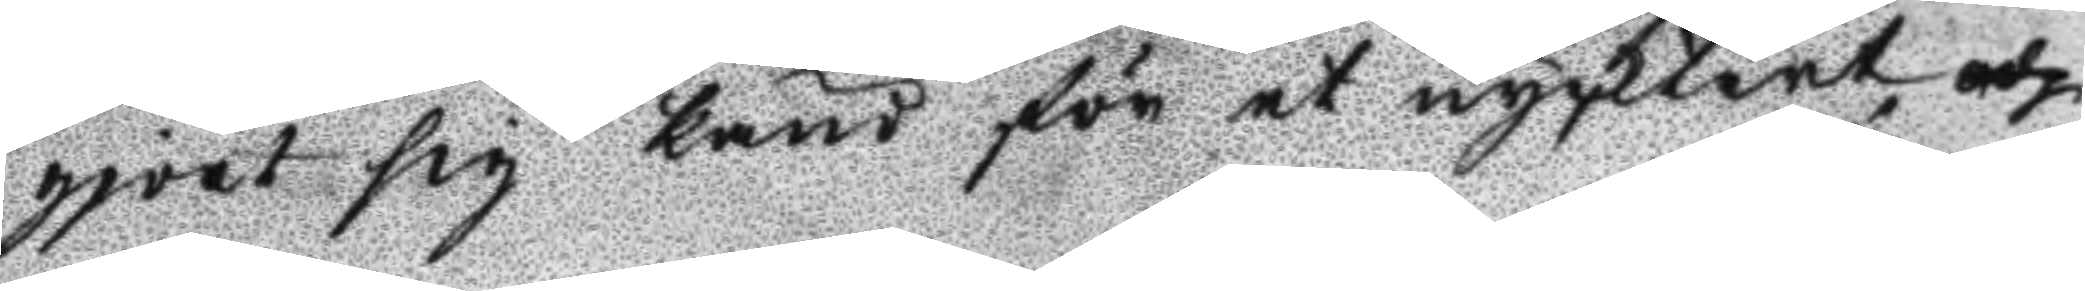gjort sig känd för et nycktert och
